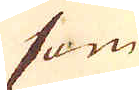som
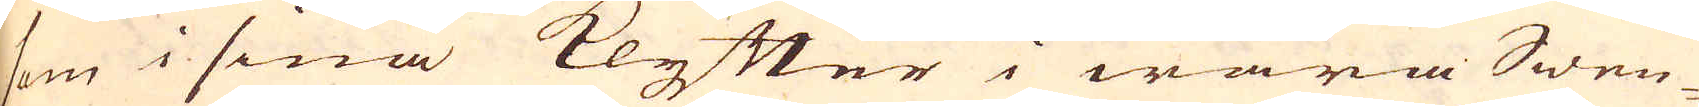som i sina klyfter i wåra Swen-
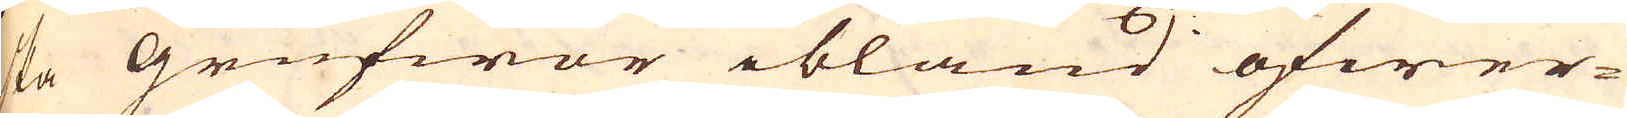ka grufwor ibland öfwer-
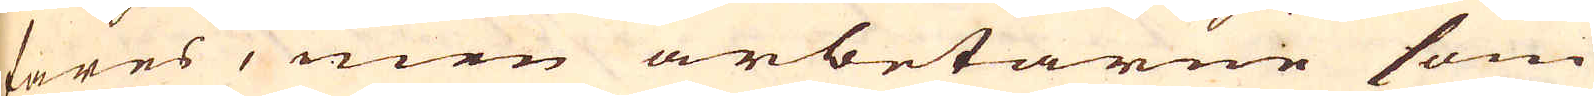fares, men arbetarne som
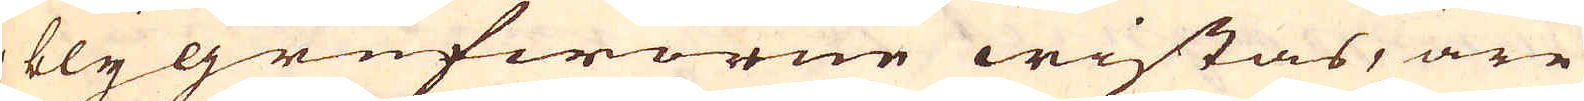i blygrufworne wistas, äre
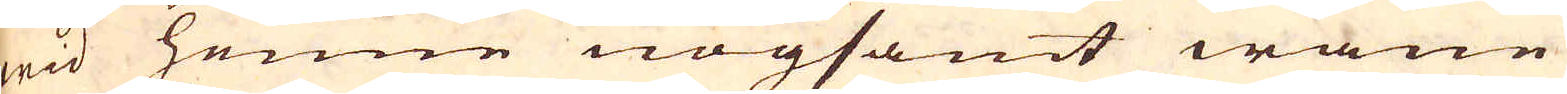wid henne nogsamt wane
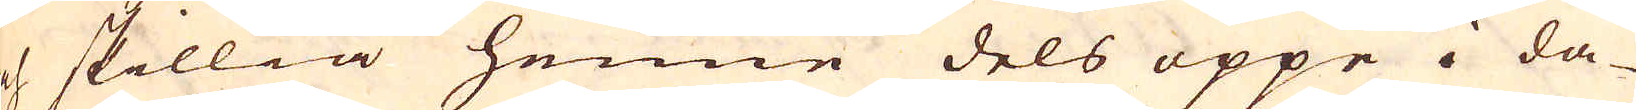och skillia henne dels uppe i da-
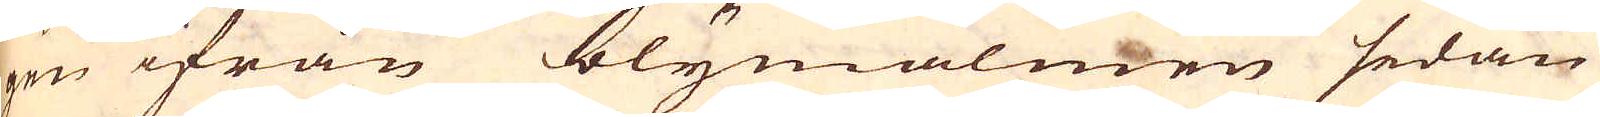gen ifrån blymalmen sedan
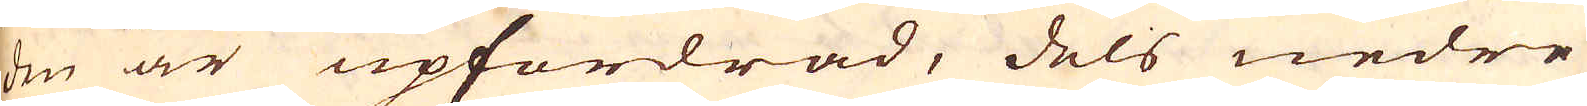den är upfordrad, dels nedre
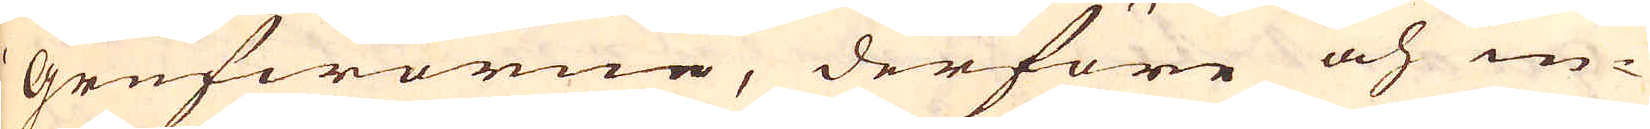i Grufworne, derföre och in-
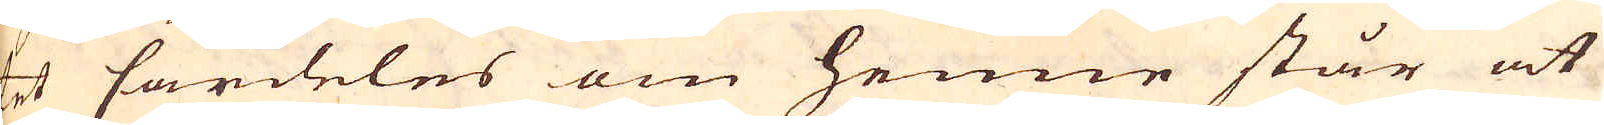tet särdeles om henne står at
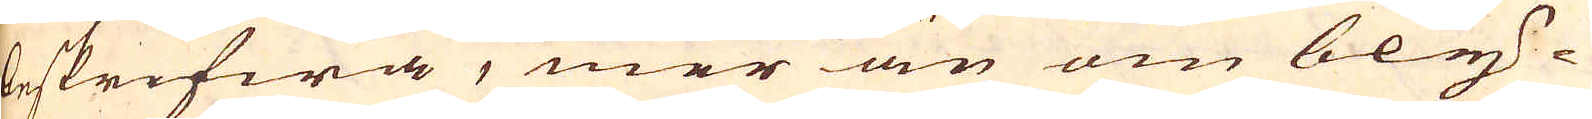beskrifwa, mer än om bly-
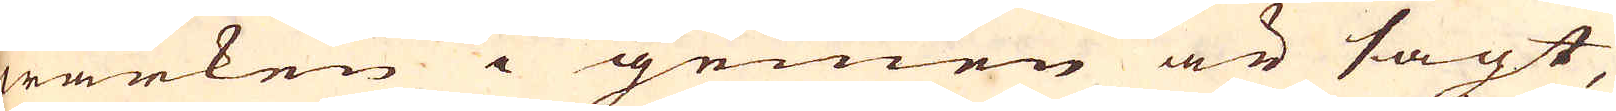wärken i gemen är sagt,
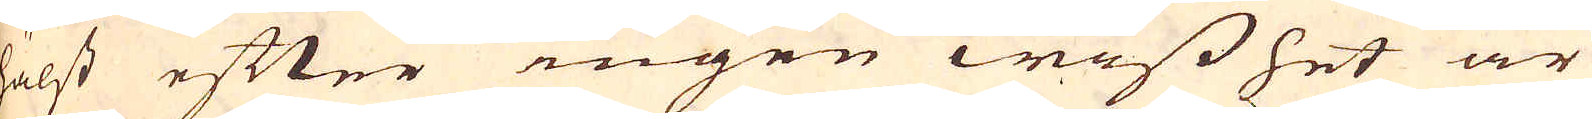hälst efter ingen wisshet är
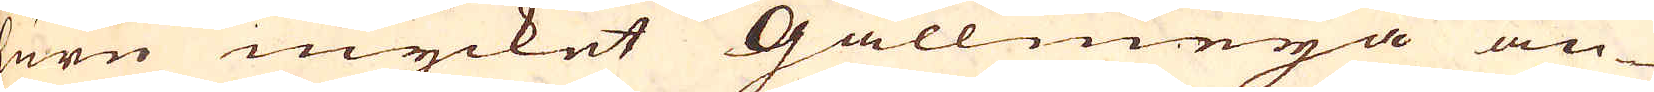huru mycket Gallmeja an-
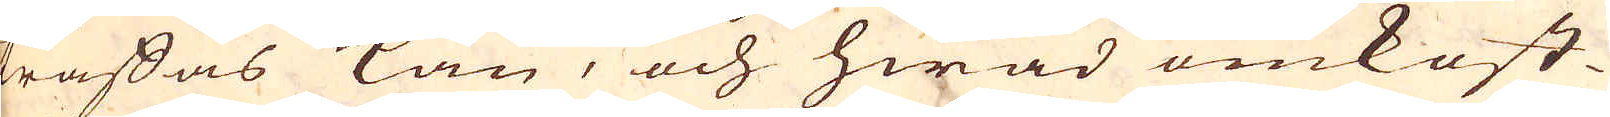träffas kan, och hwad omkost-
